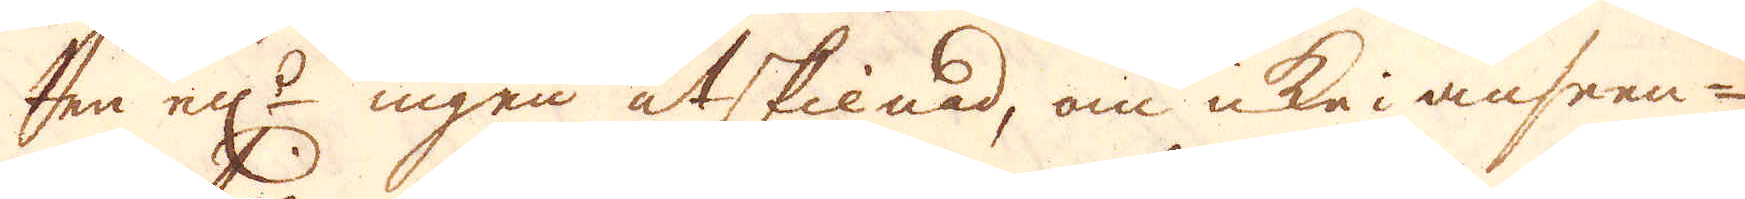ten ell:r ingen åtskilnad, om icka i anseen-
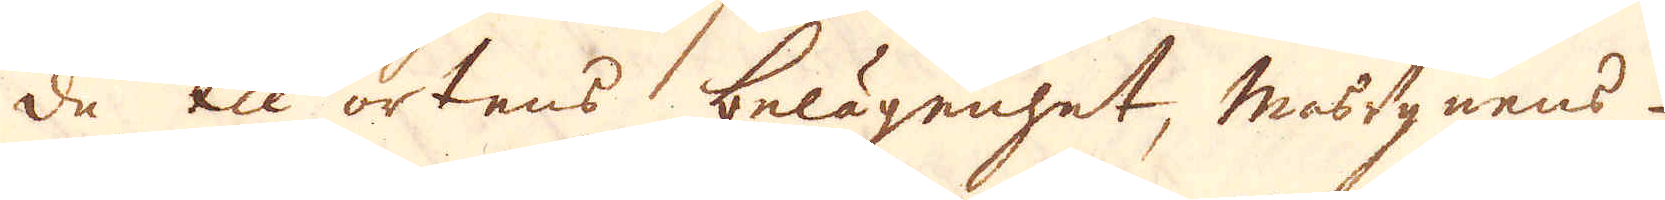de til ortens belägenhet, masugnens
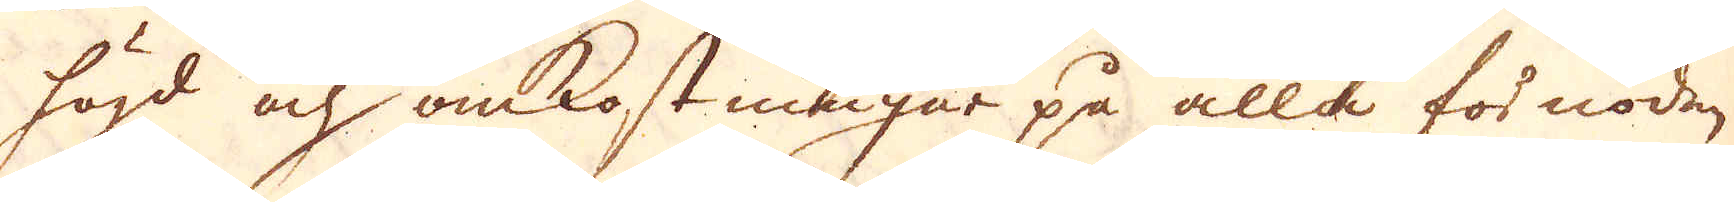högd och omkostningar på alla för nöden-
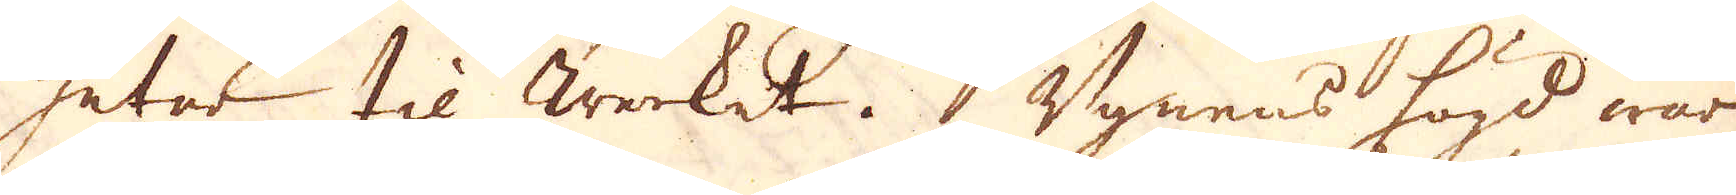heter til Werket. Ugnens högd war
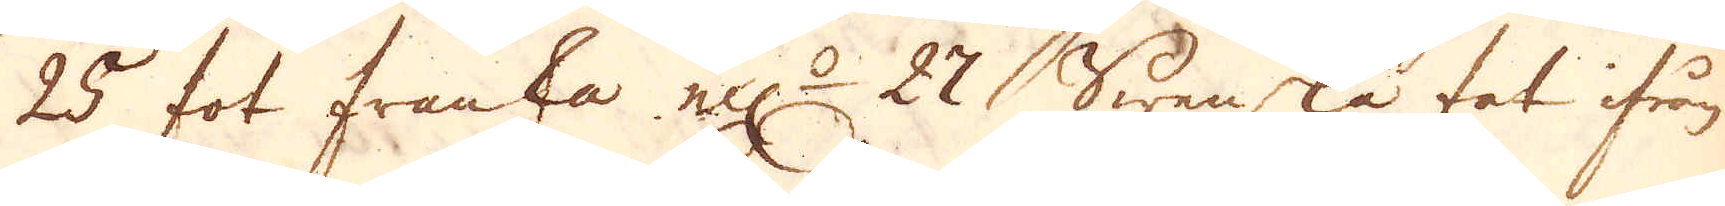25 fot franska ell:r 27 Swenska fot ifrån
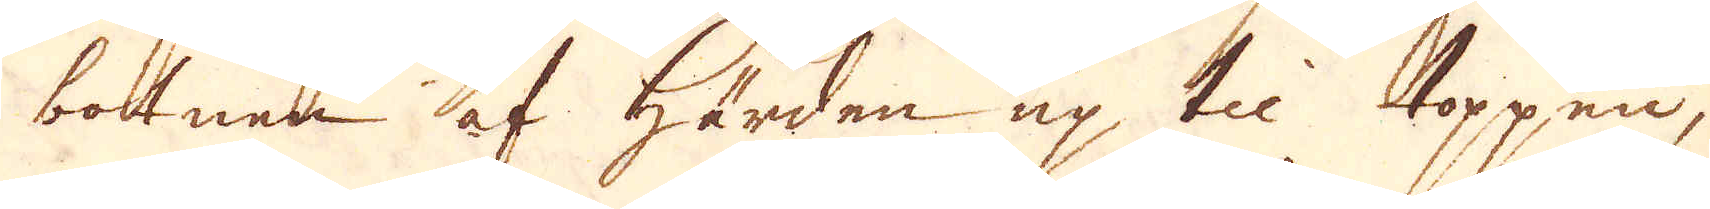botnen af härden up til toppen,
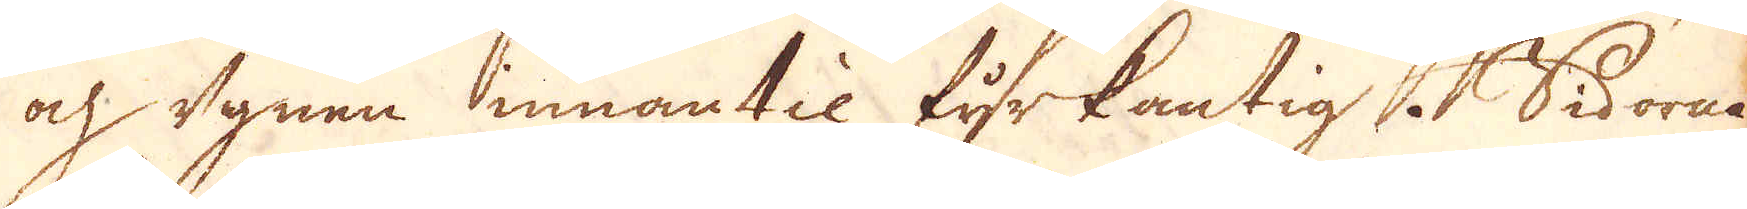och ugnen innantil fyrkantig i Sidorne
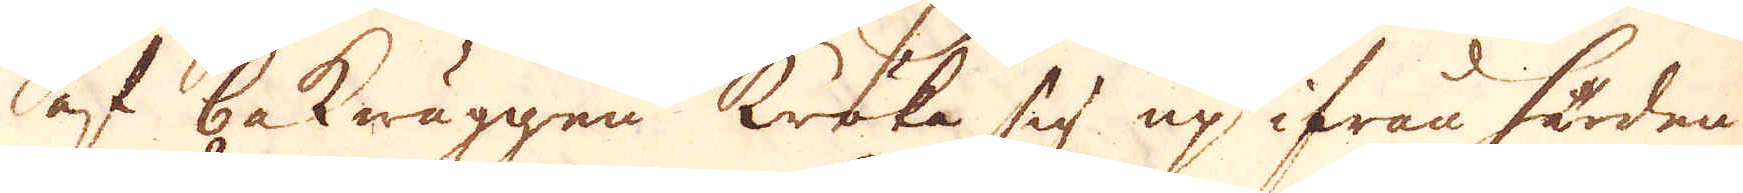af bakwäggen kröka sig up ifrån härden
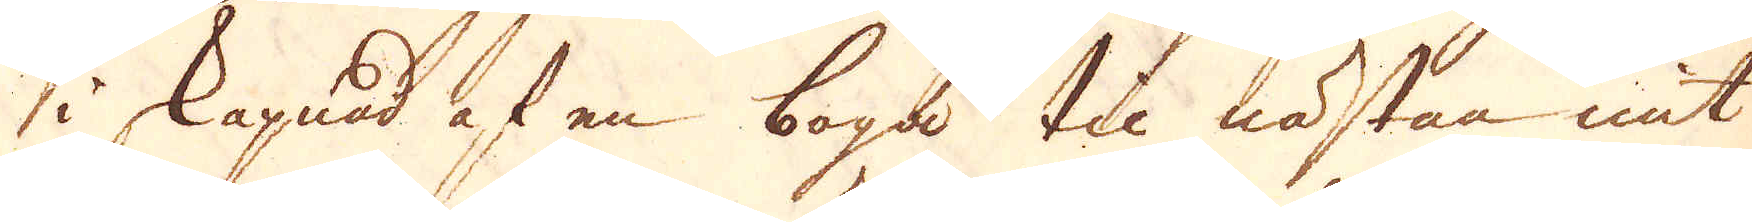i skapnad af en boga till nästan mit
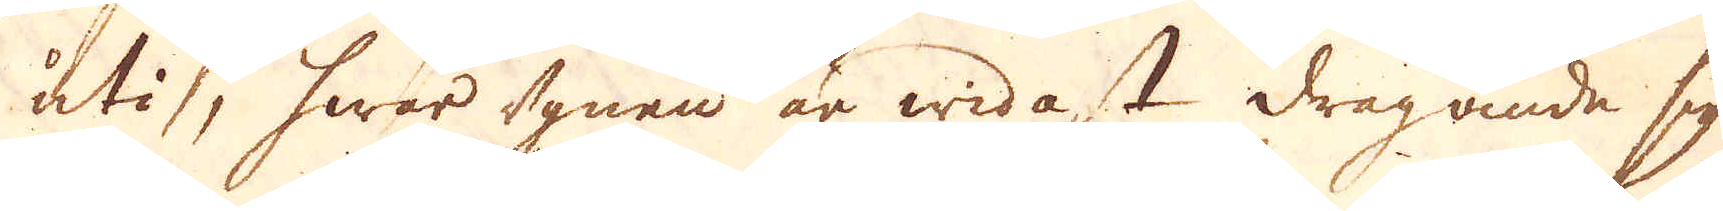uti, hwar ugnen är widast dragande sig
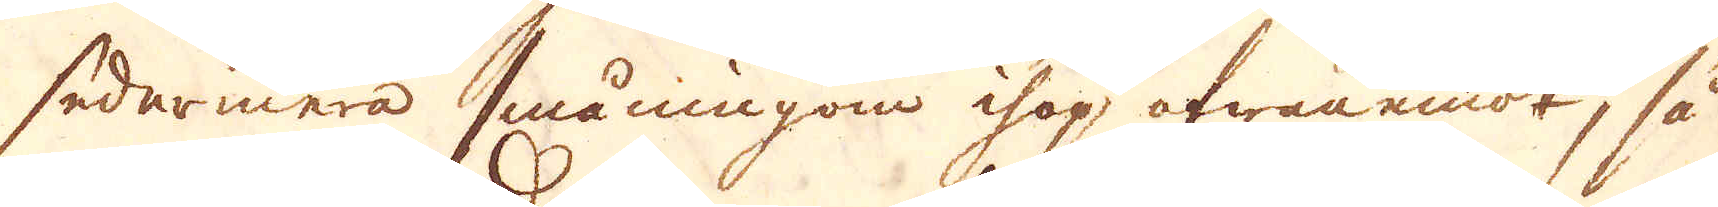sedermera småningom ihop ofwanemot, så
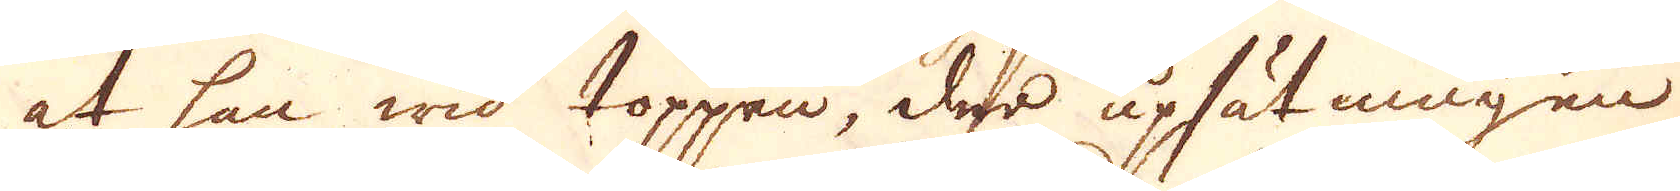at han wid toppen, der upsätningen
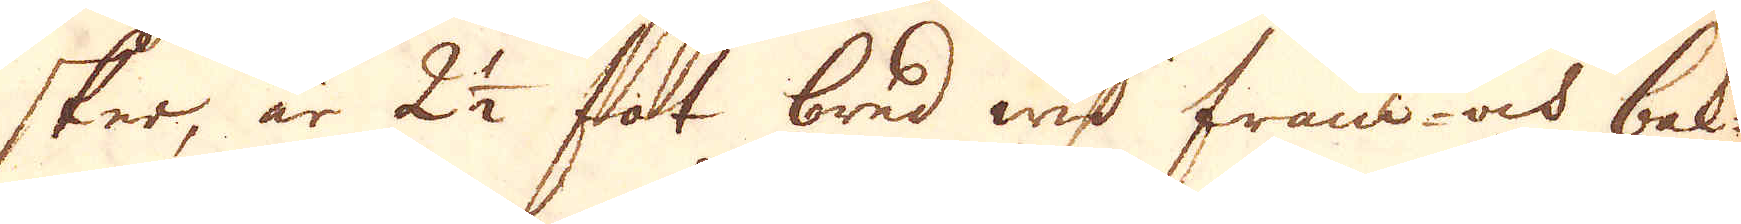sker, är 2 1/2 fot bred wid fram- ock bak-
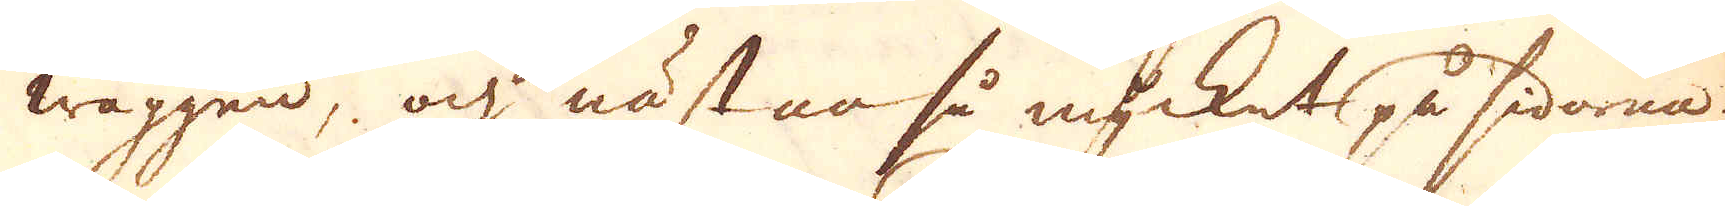wäggen, och nästan så mycket på sidorna.
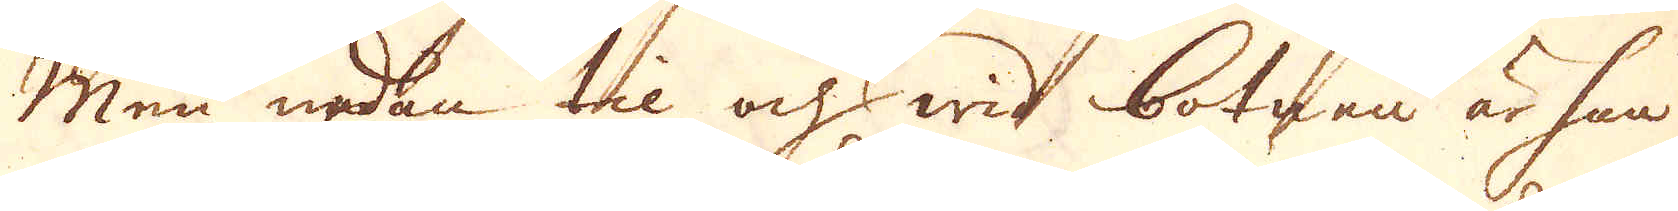Men nedan til och wid botnen är han
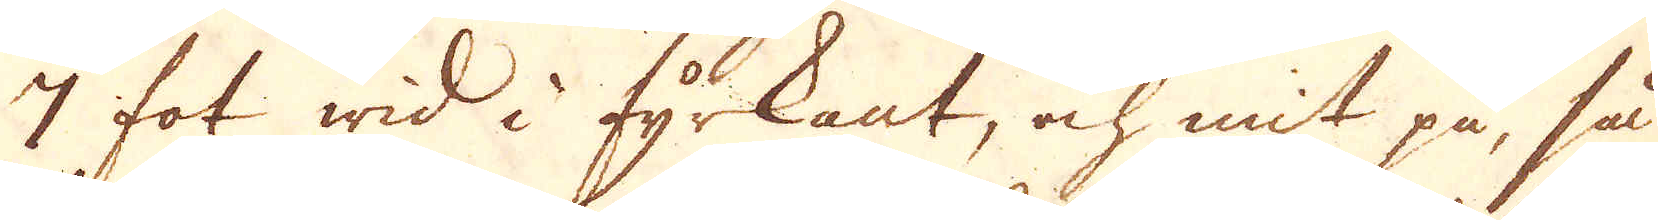7 fot wid i fyrkant, och mit på, så
